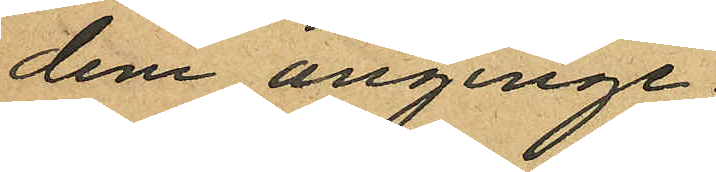dem anginge.
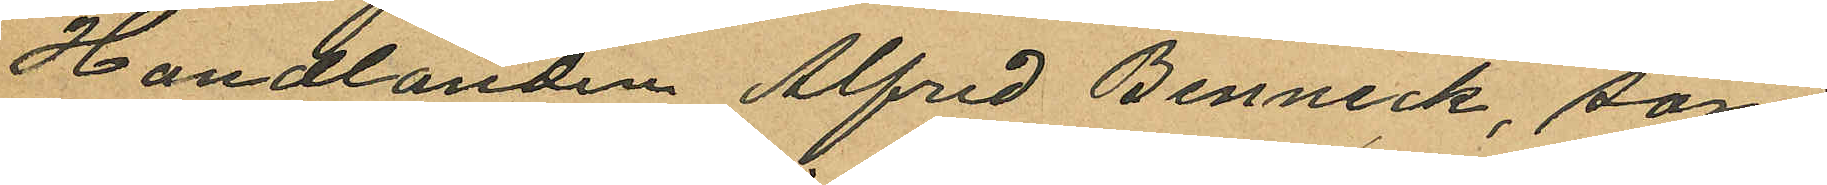Handlanden Alfred Benneck, som
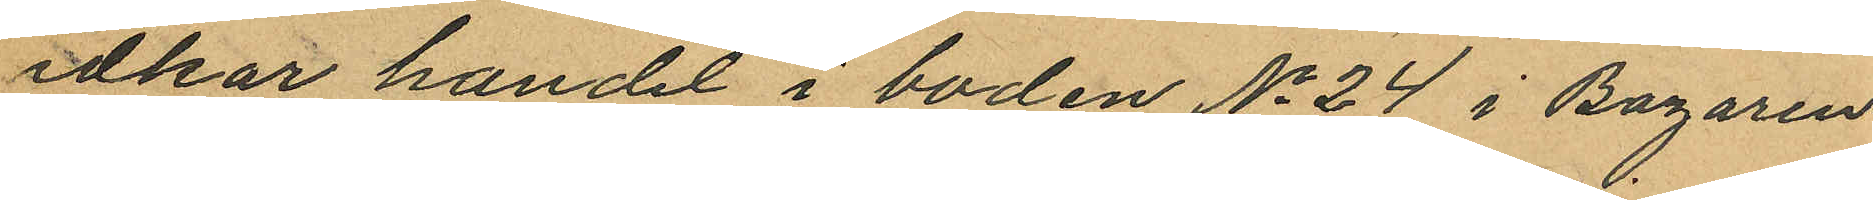idkar handel i boden No 24 i Bazaren
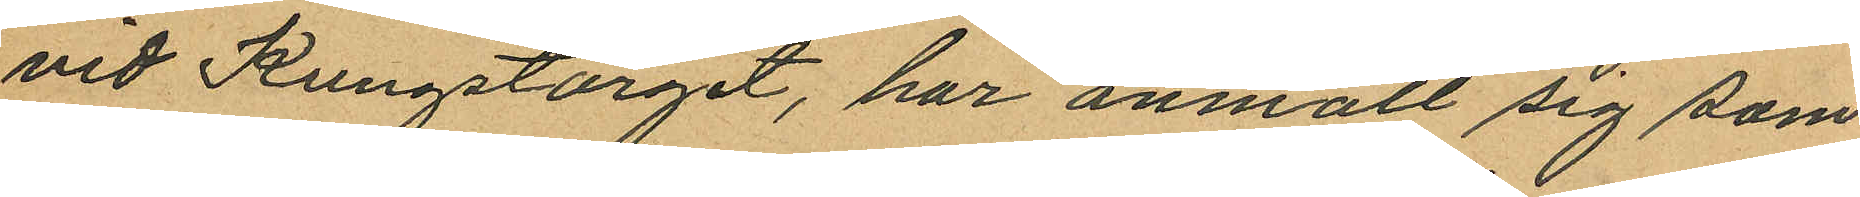vid Kungstorget, har anmält sig som
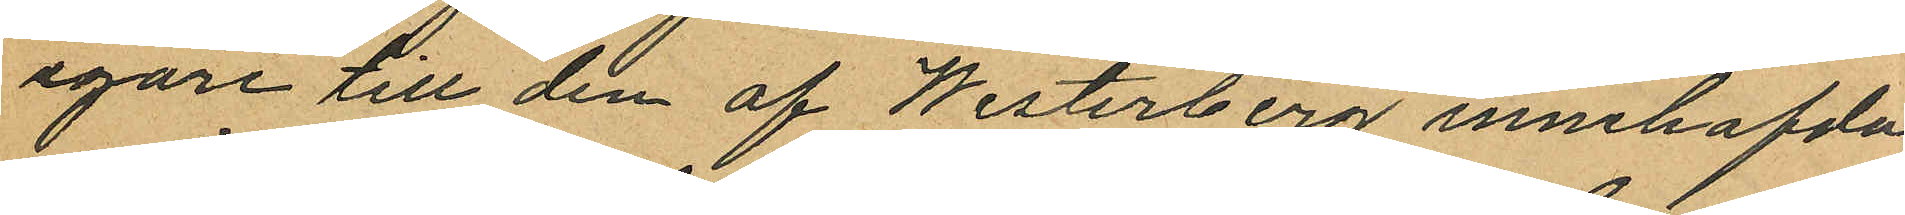egare till den af Westerberg innehafda
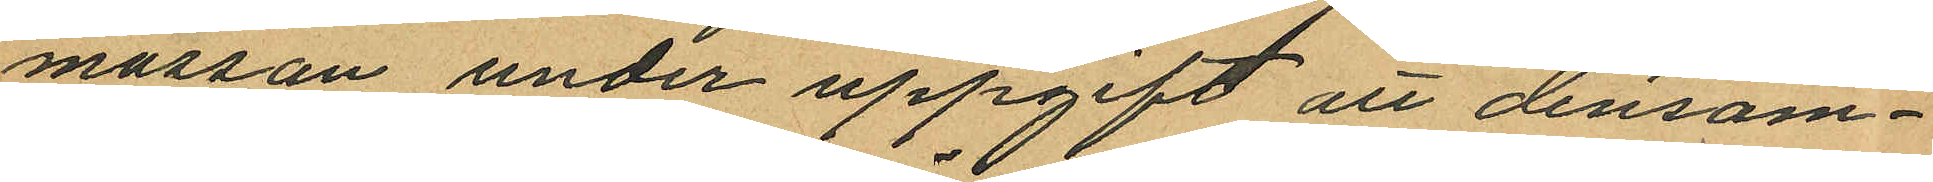mössan under uppgift att densam¬
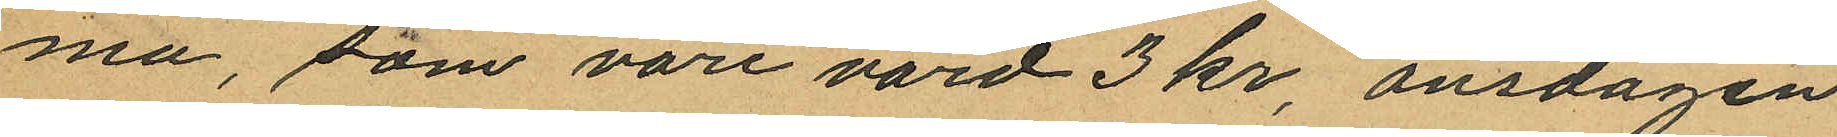ma, som vore värd 3 kr onsdagen
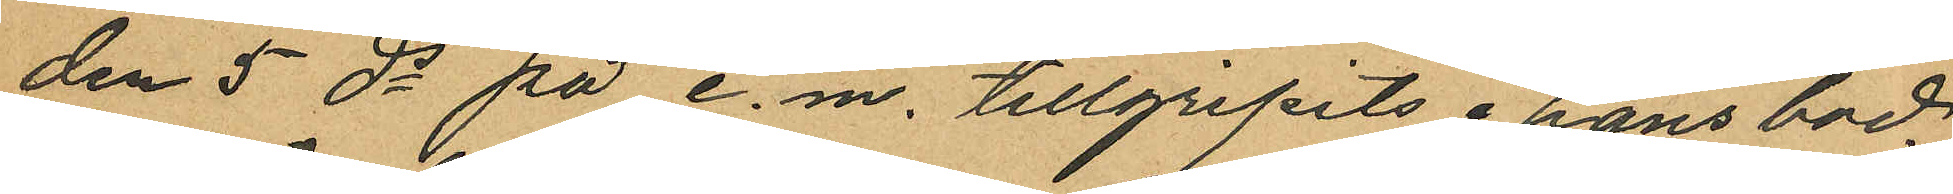den 5 ds på e.m. tillgripits i hans bod.
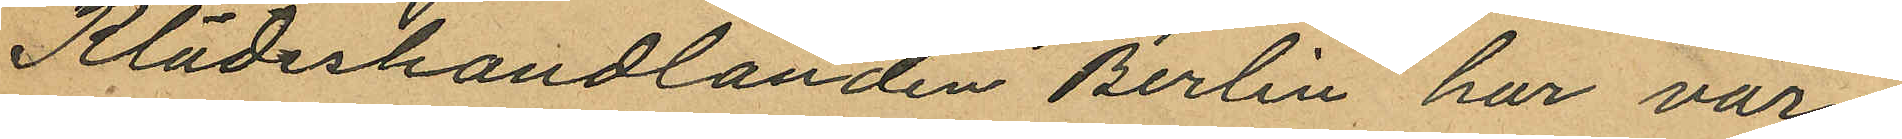Klädeshandlanden Berlin har vär¬
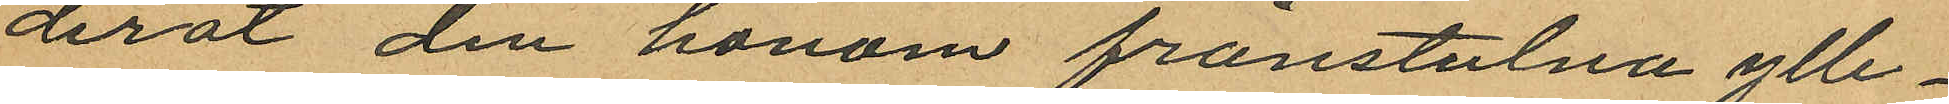derat den honom frånstulna ylle¬
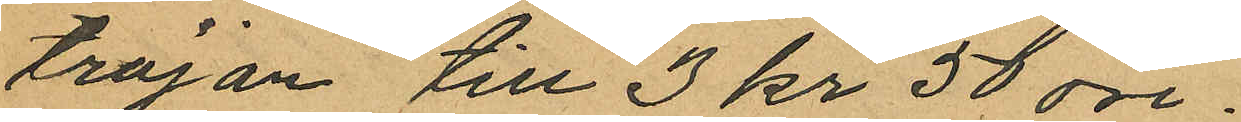tröjan till 3 kr 50 öre.
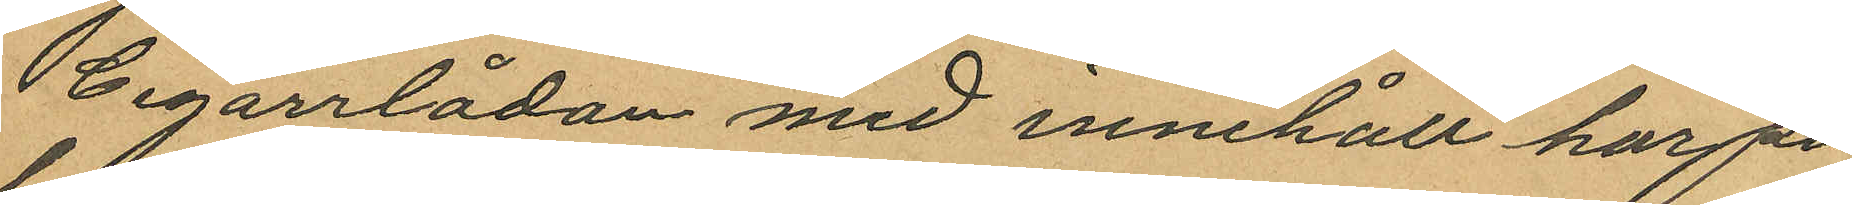Cigarrlådan med innehåll har på
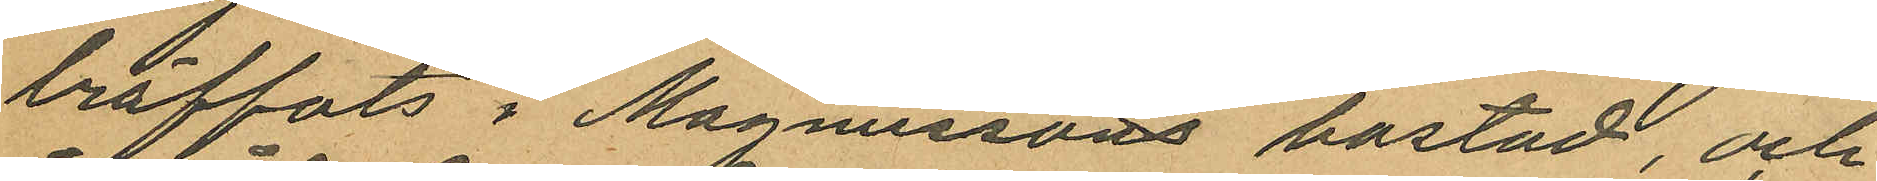träffats i Magnussons bostad, och
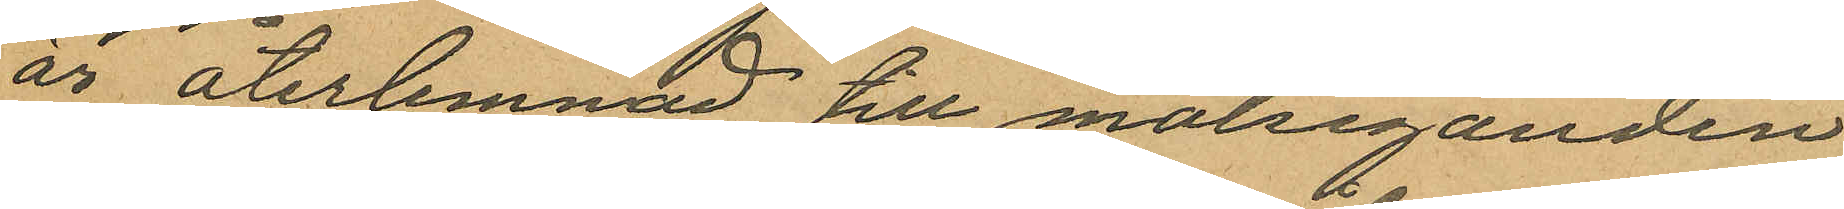år återlemnad till målseganden
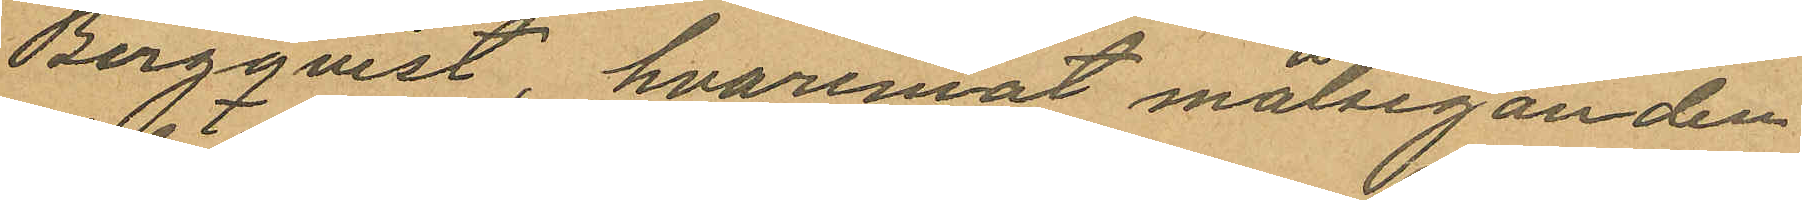Bergqvist, hvaremot målseganden
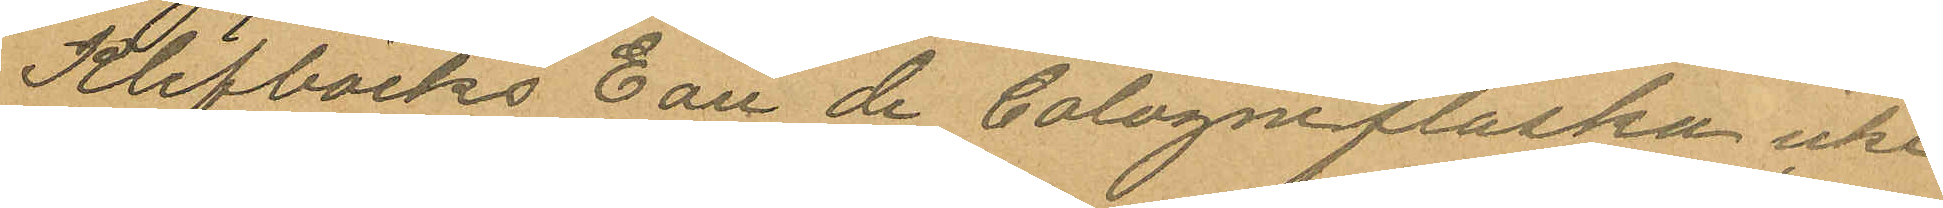Klefbäcks Eau de Cologneflaska icke
